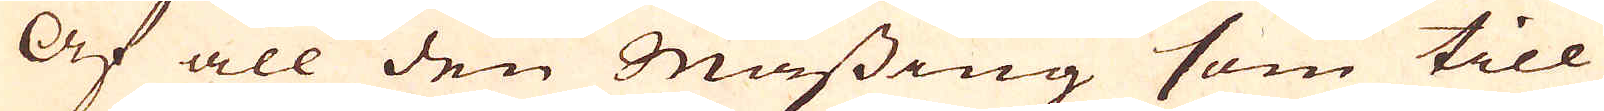Af all den Mässing som till
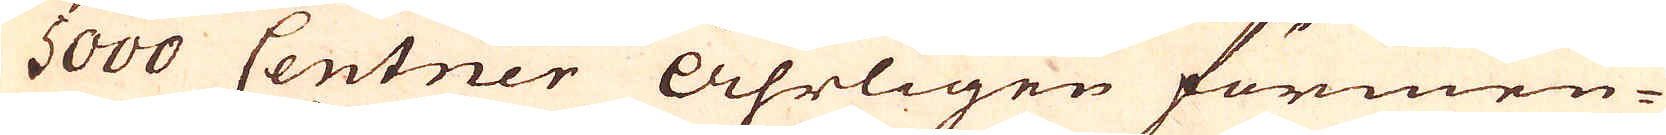5000 Centner Åhrligen förmen-
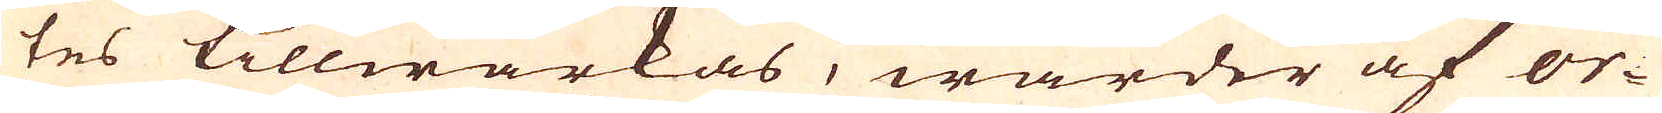tes tillwärkas, warder af or-
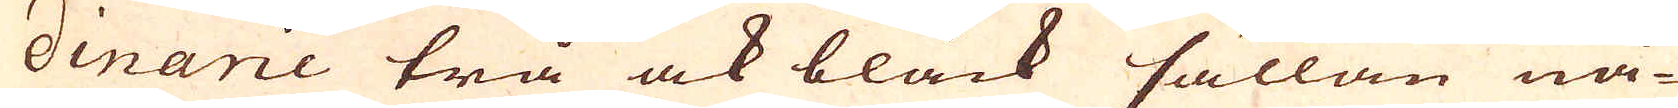dinarie trä ock bläck sällan nå-
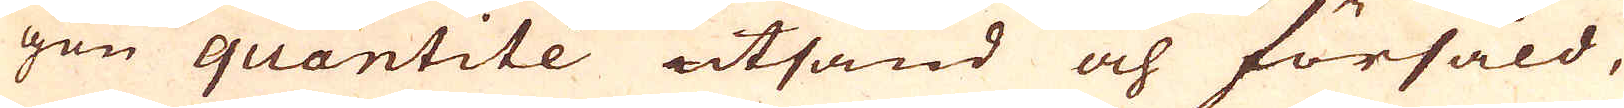gon quantitée utäand och föråäld,
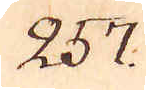257.
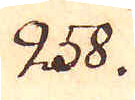258.
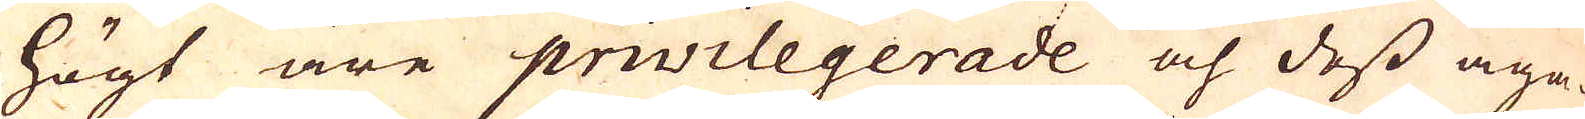högt äre privilegerade och dess äga-
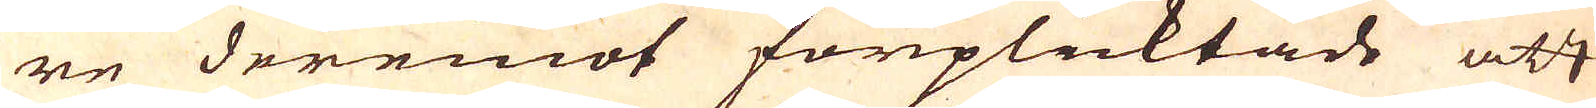re deremot förplicktade att
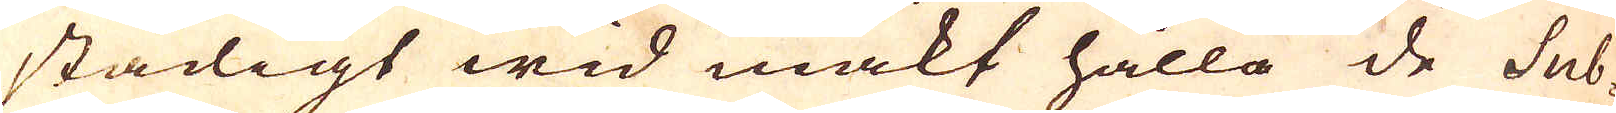stadigt wid makt hålla de Sub-
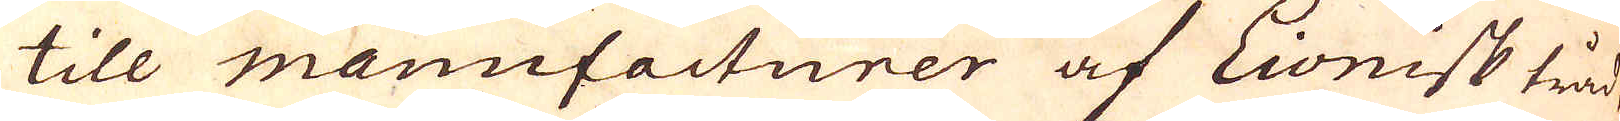till manufacturer af Lionisk tråd
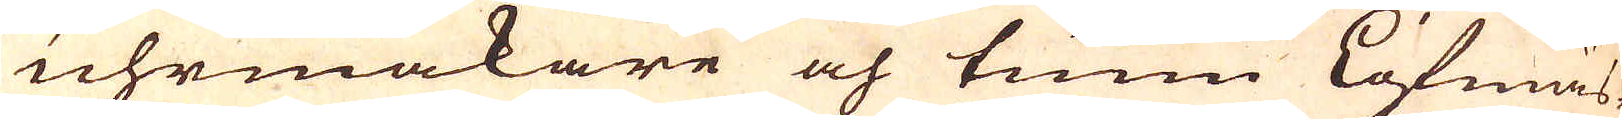uhrmakare och tunn löfmäs-
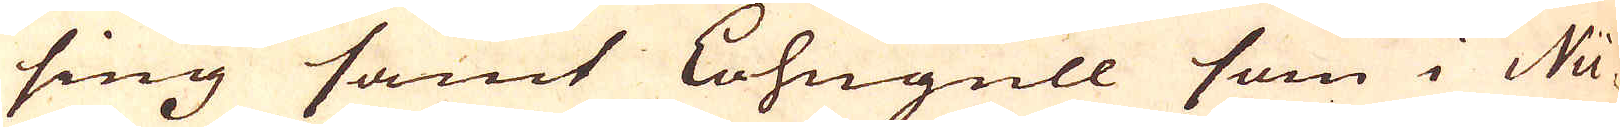sing samt Lohngull som i Nü-
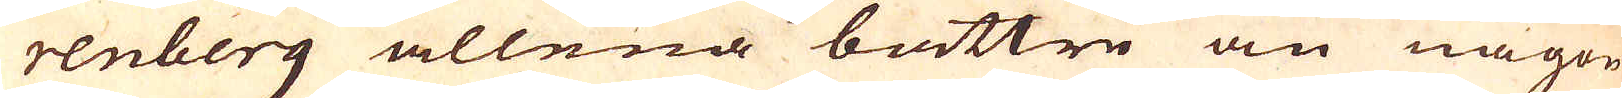renberg allena bättre än någon
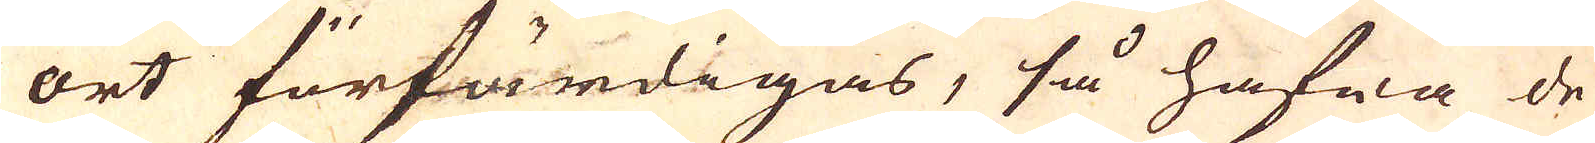ort förfärdigas, så hafwa de
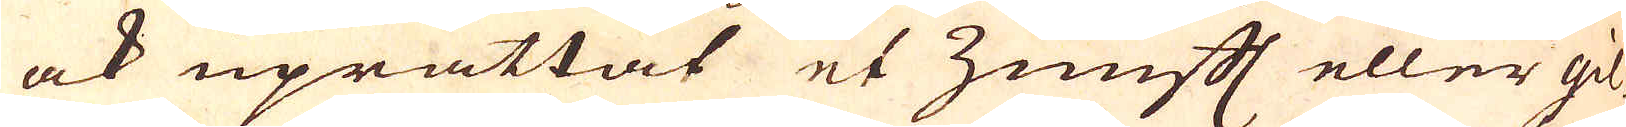ock uprättat et Zunft eller gil-
